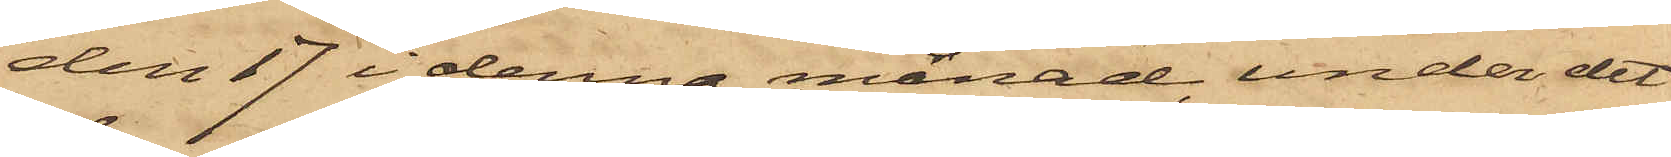den 17 i denna månad, under det
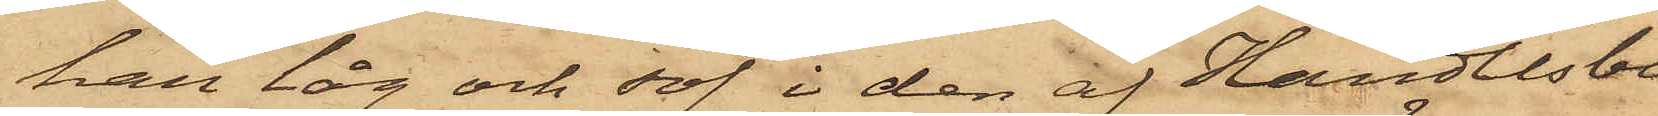han låg och sof i den af Handlesbe¬
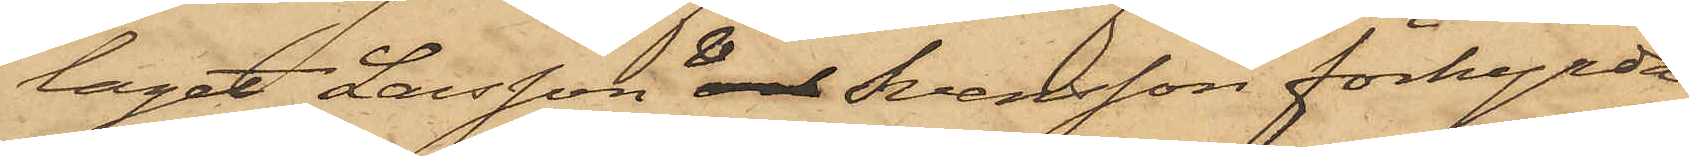laget Larsson & och Svensson förhyrda
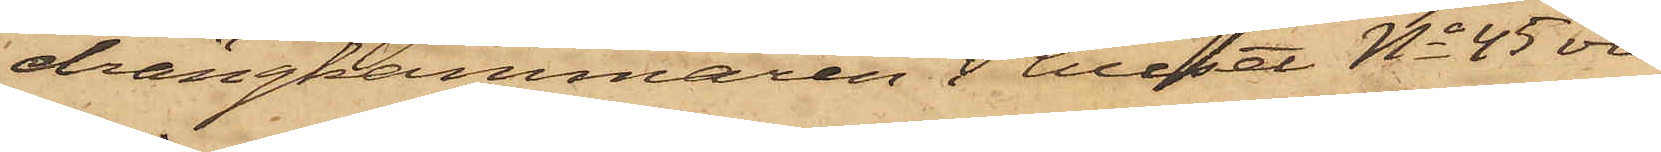drängkammaren i huset No 45 vid
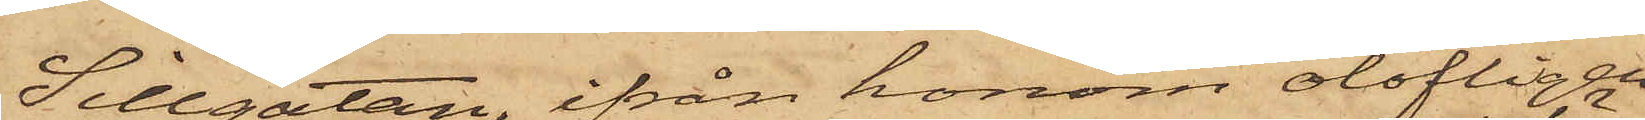Sillgatan, ifrån honom olofligen
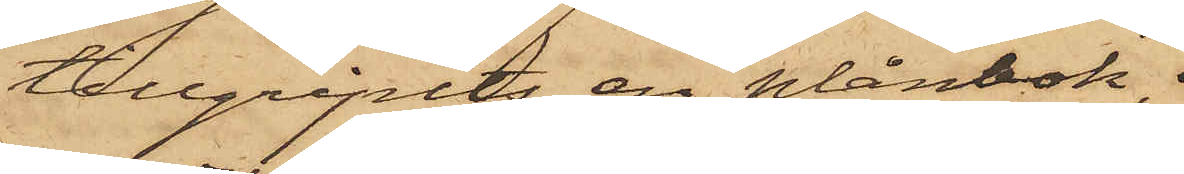tillgripits en plånbok, 
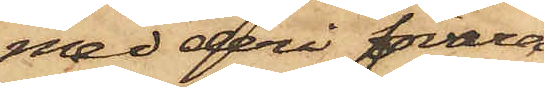med deri förvara¬
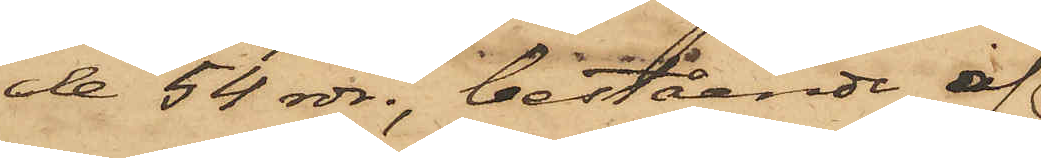de 54 rdr; bestående af
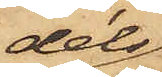dels
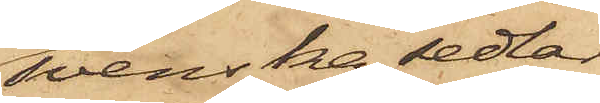svenska sedlar
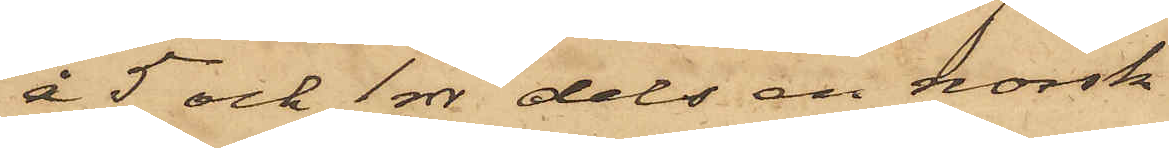å 5 och 1 rdr dels en norsk
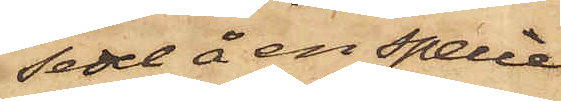sedel å en specie,
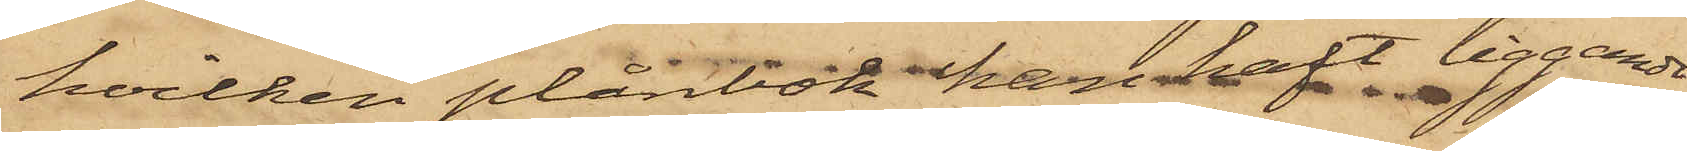hvilken plånbok han haft liggande
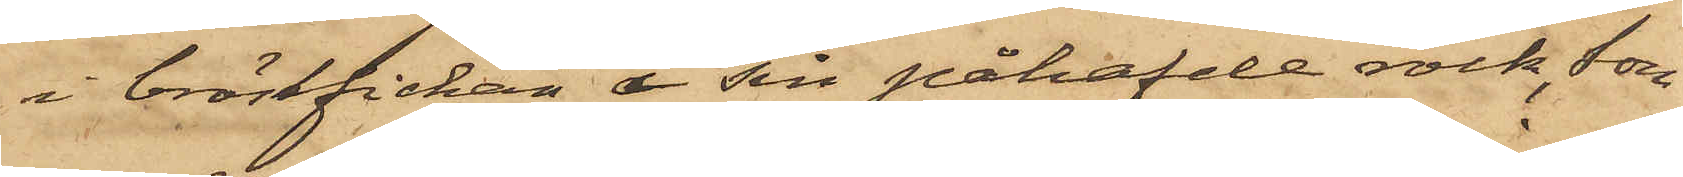i bröstfickan i sin påhafvde rock, som
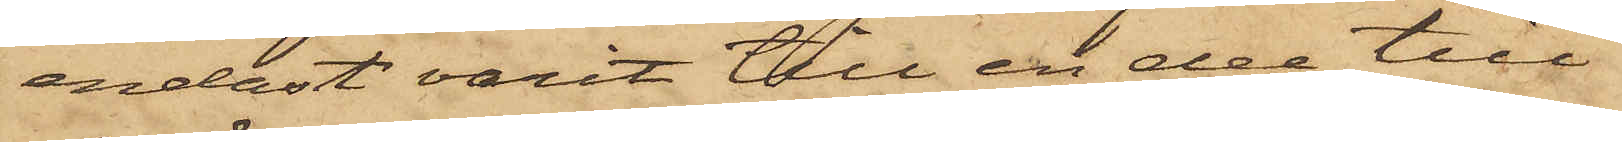endast varit till en del till¬
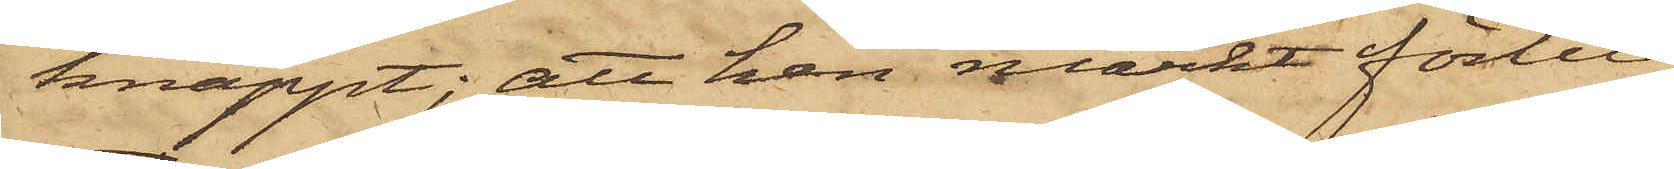knäppt; att han märkt förlu¬
